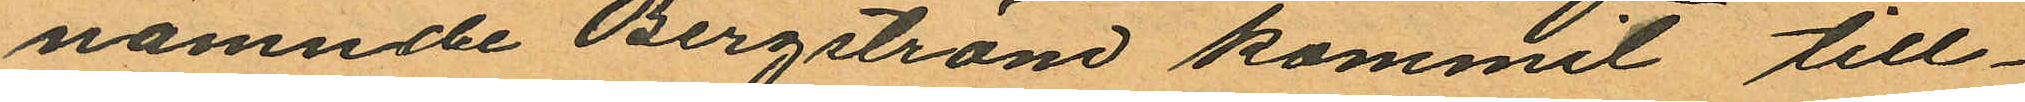nämnde Bergström kommit till¬
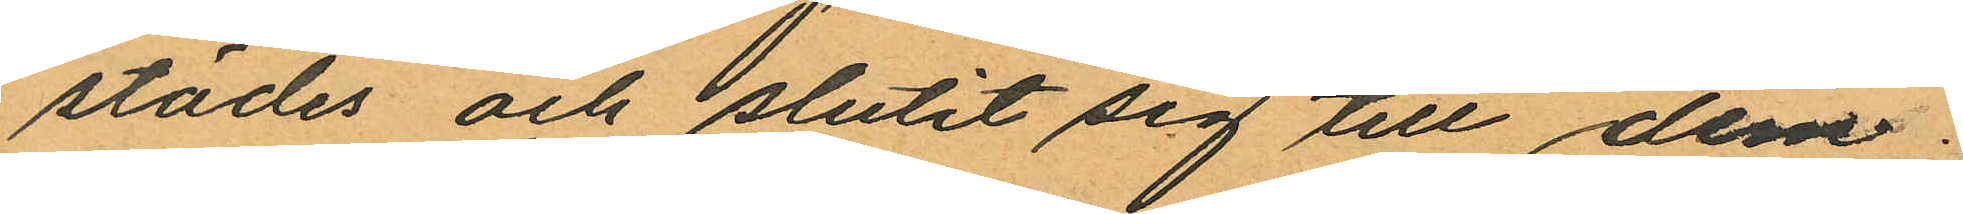städes och slutit sig till dem;
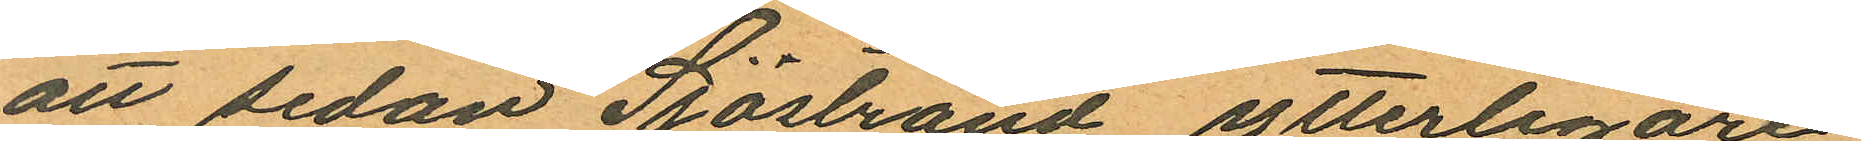att sedan Sjöstrand ytterligare
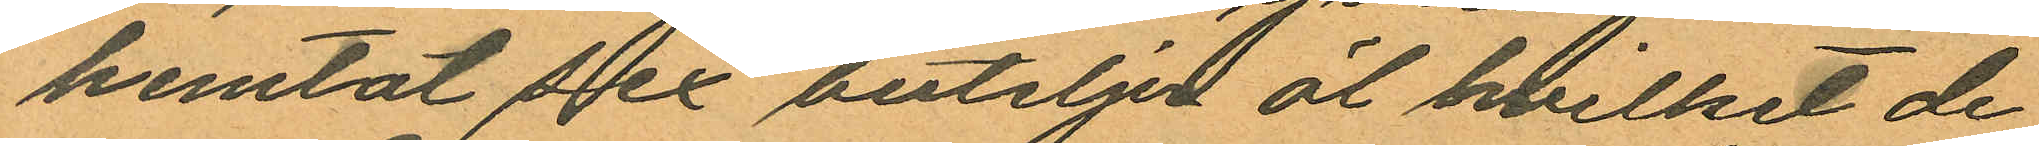hemtat sex buteljer öl hvilket de
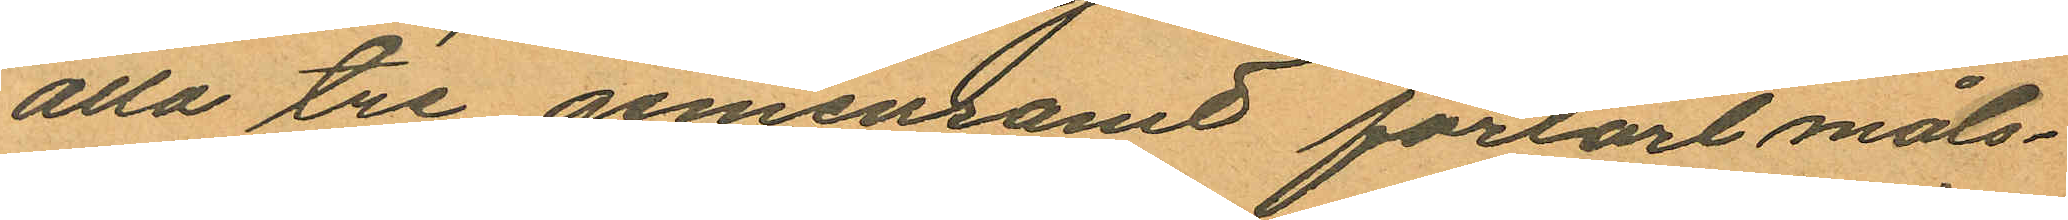alla tre gemensamt förtärt måls¬
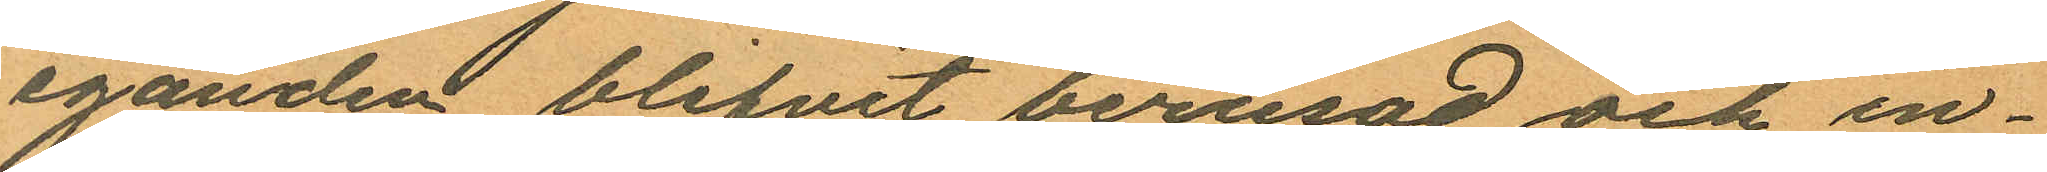eganden blifvit berusad och in¬
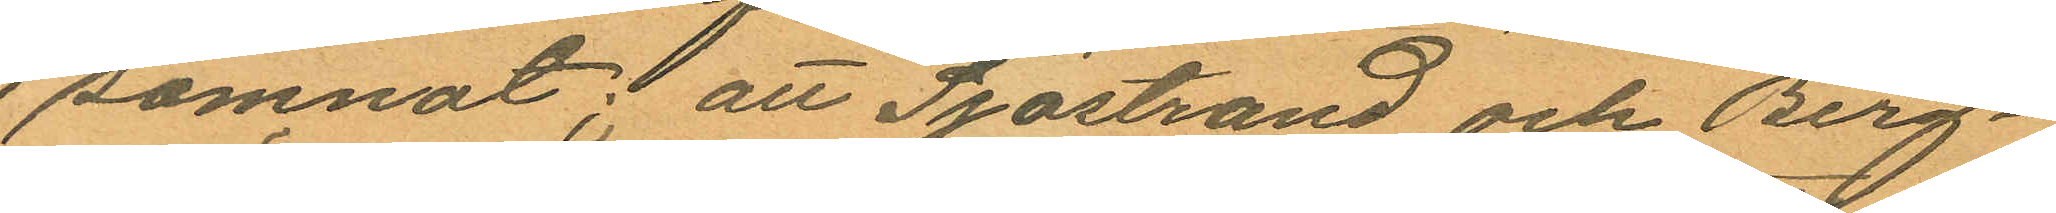somnat; att Sjöstrand och Berg¬
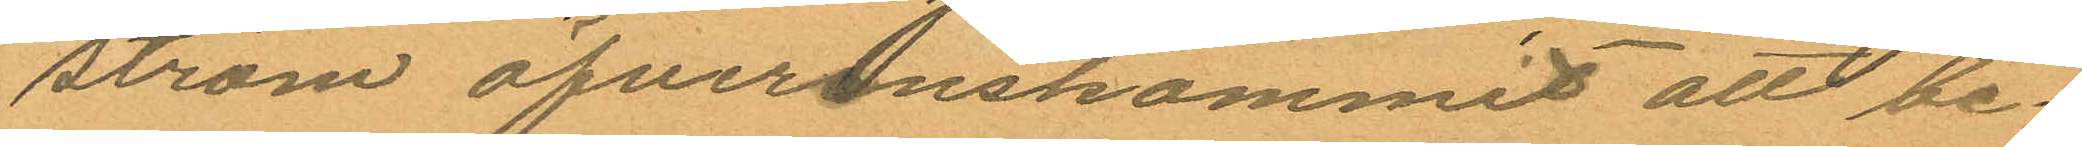ström öfverenskommit att be¬
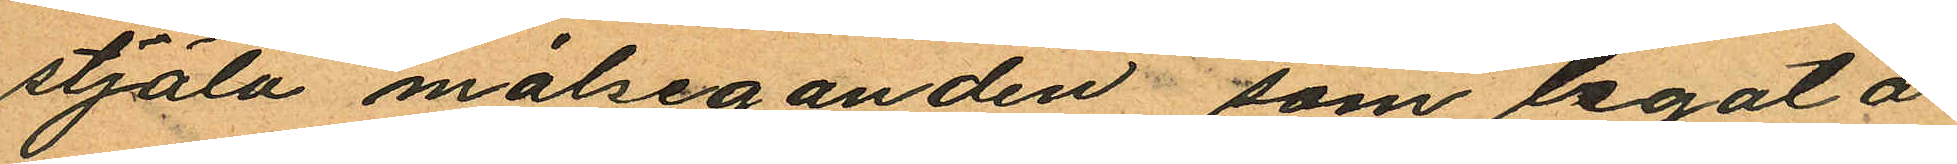stjäla målseganden, som legat å
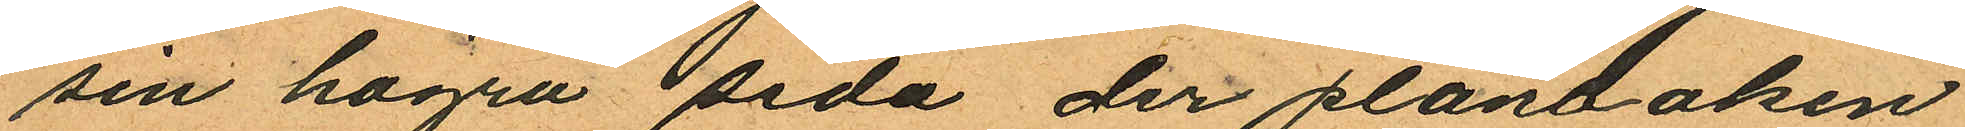sin högra sida der plånboken
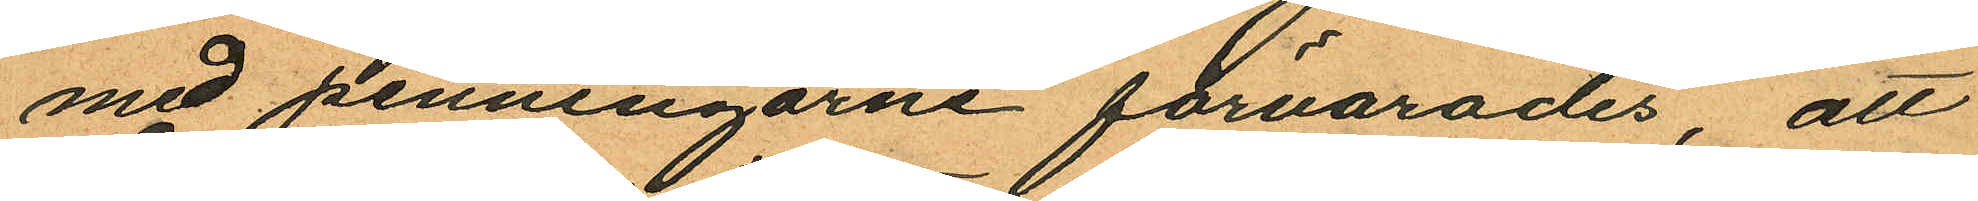med penningarne förvarades, att
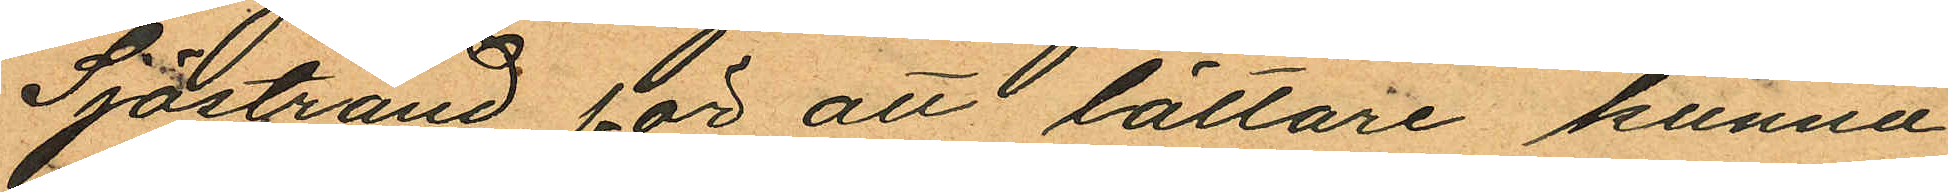Sjöstrand, för att lättare kunna
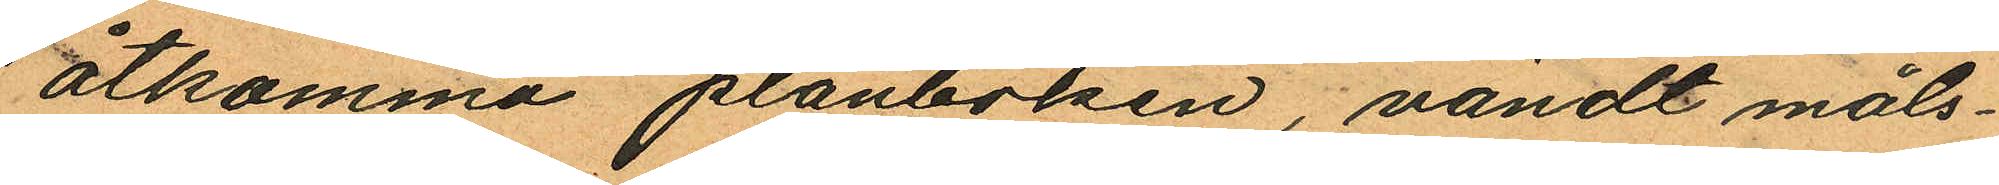åtkomma plånboken, vändt måls¬
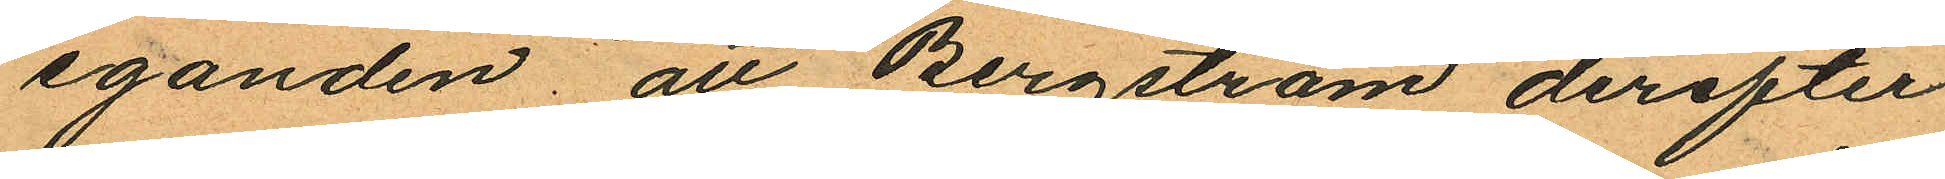eganden; att Bergström derefter
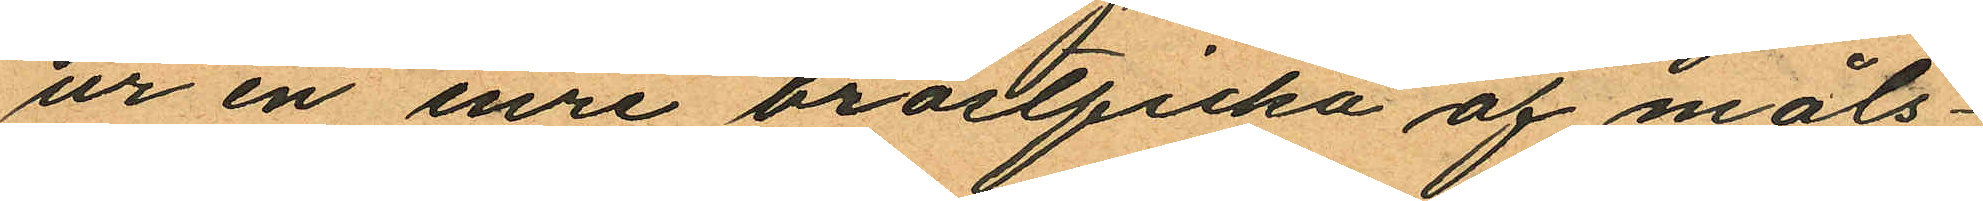ur en inre bröstficka af måls¬
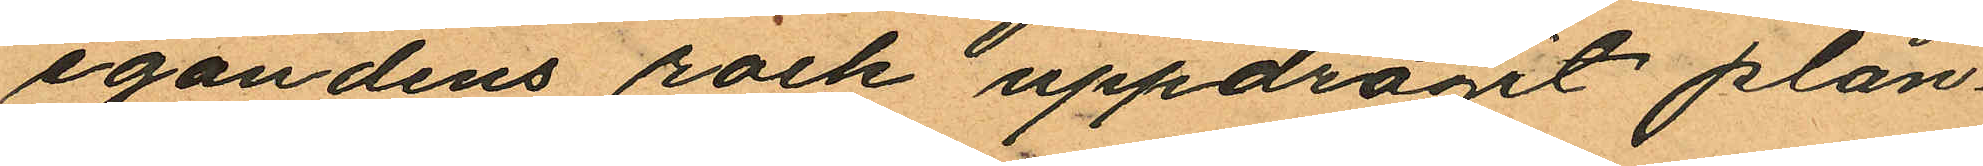egandens rock uppdragt plån¬
